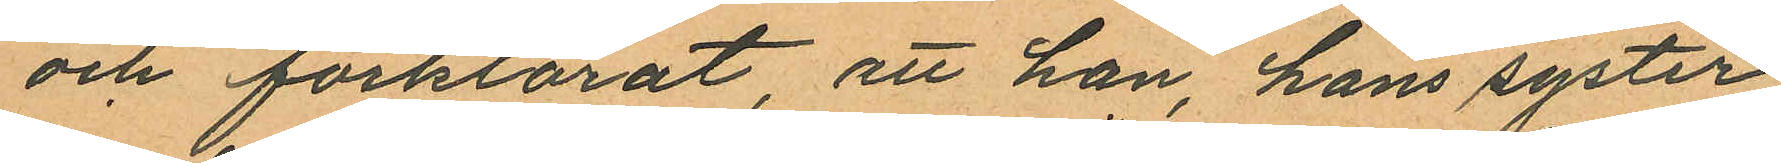och förklarat, att han, hans syster
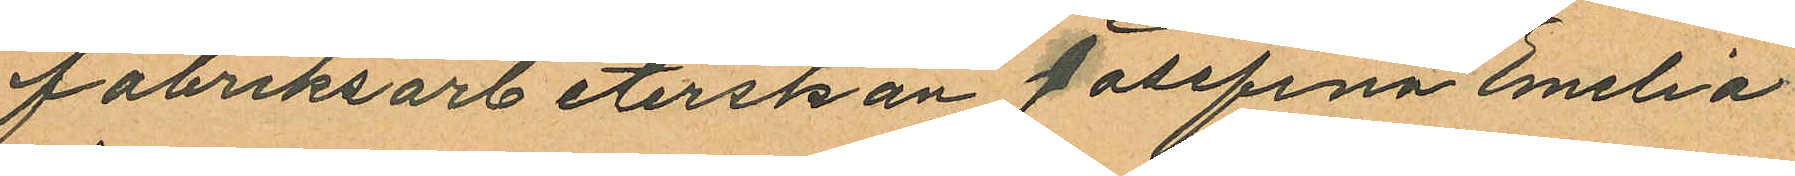fabriksarbeterskan Josefina Emelia
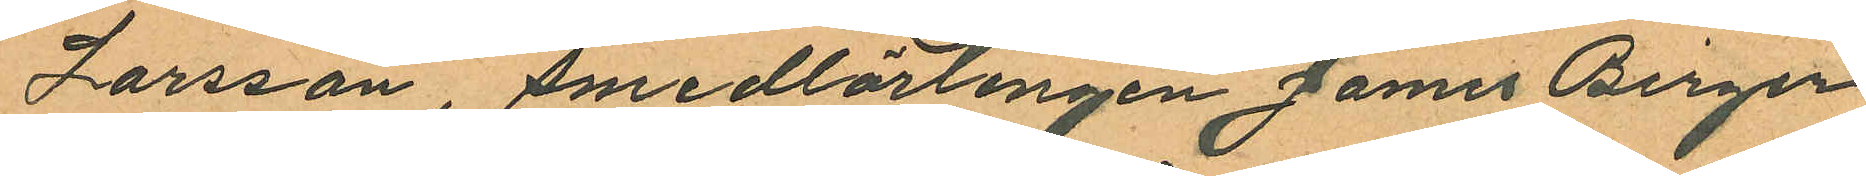Larsson, smedlärlingen James Birger
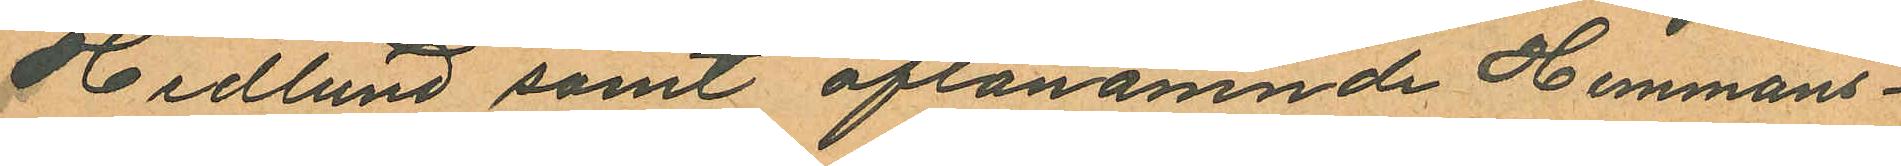Hedlund samt oftlanämnde Hemmans¬
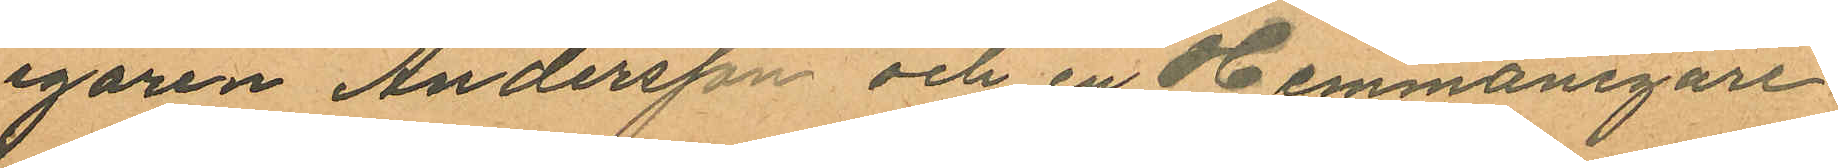egaren Andersson och en Hemmanegare
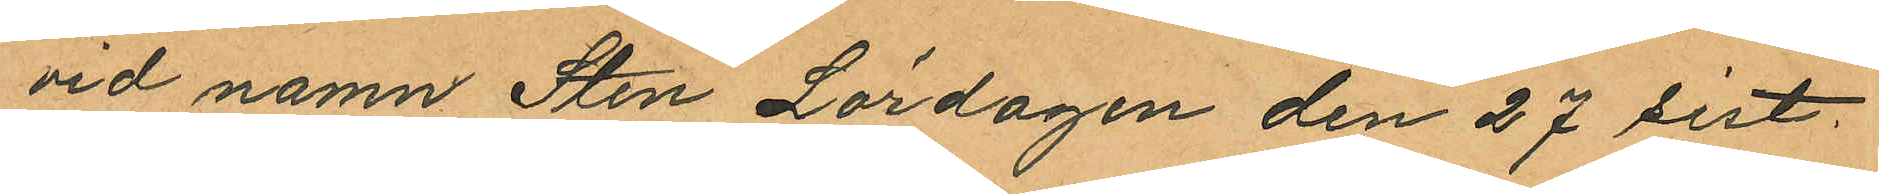vid namn Sten Lördagen den 27 sist.
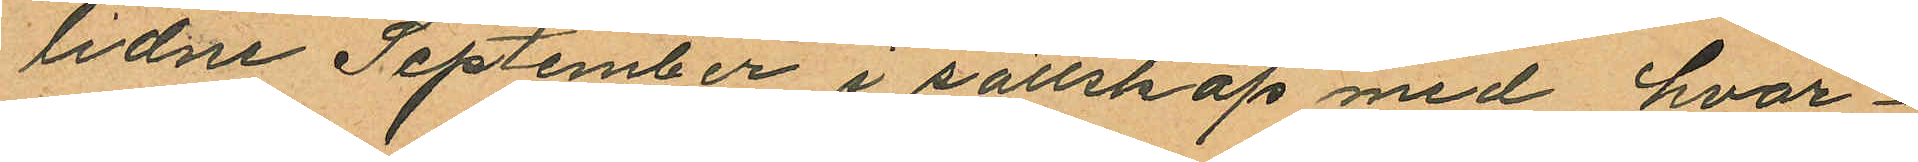lidne September i sällskap med hvar¬
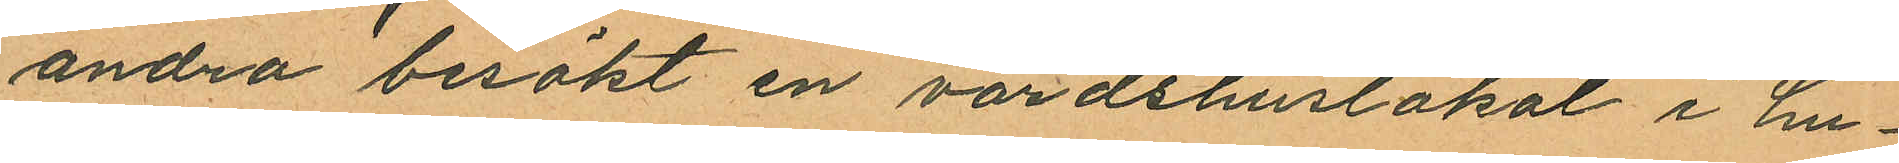andra besökt en värdshuslokal i hu¬
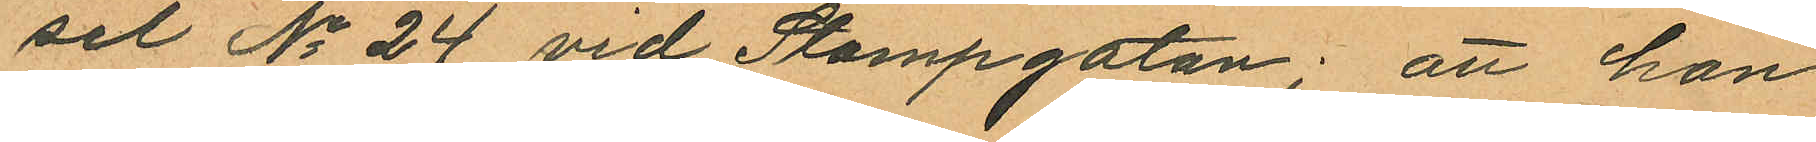set No 24 vid Stampgatan; att han
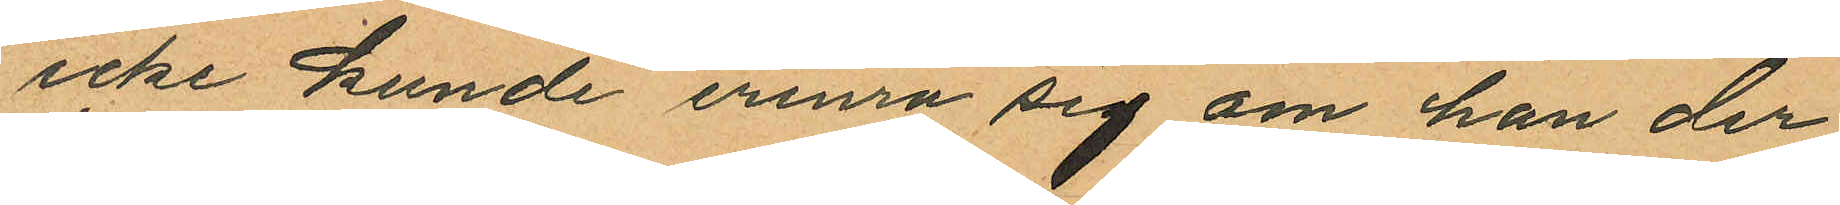icke kunde erinra sig om han der
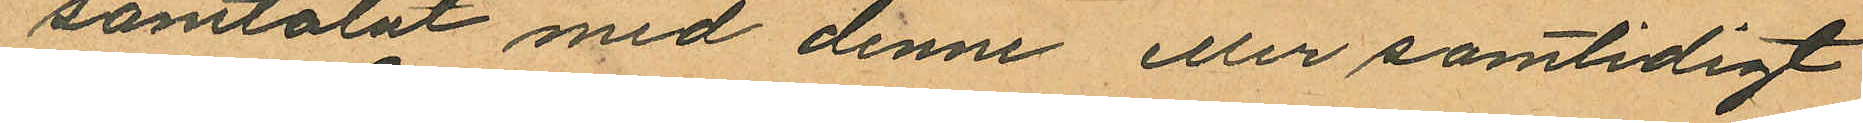samtalat med denne eller samtidigt
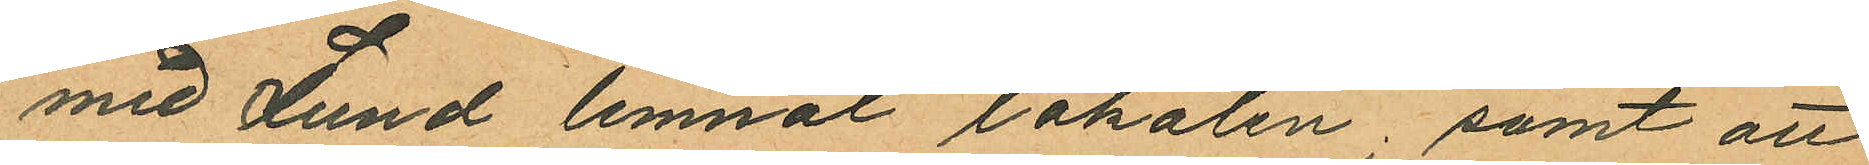med Lund lemnat lokalen; samt att
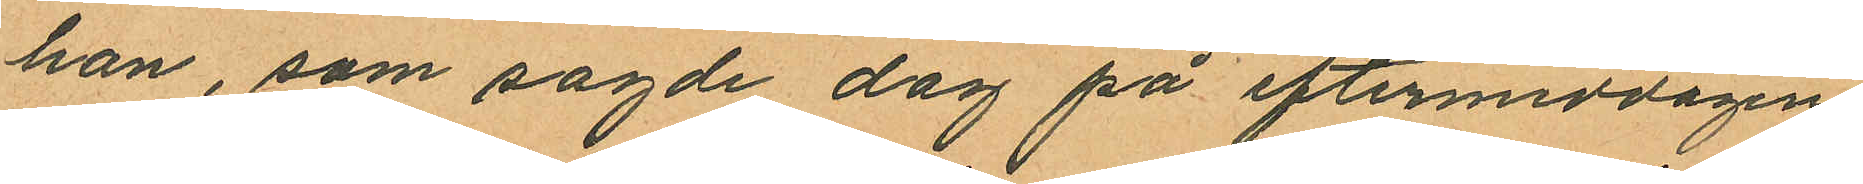han, som sagde dag på eftermiddagen
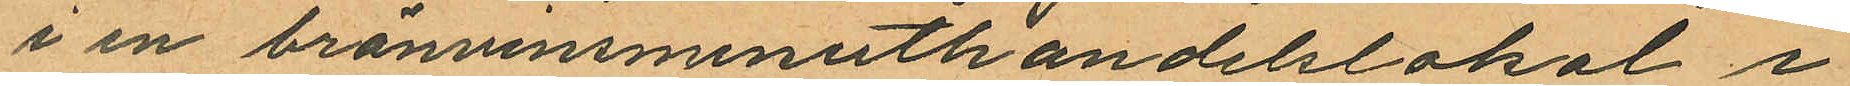i en bränvinsminuthandelslokal i
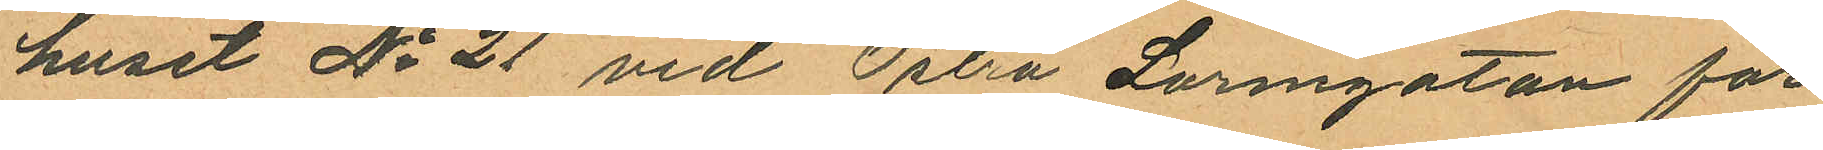huset No 21 vid Östra Larmgatan för
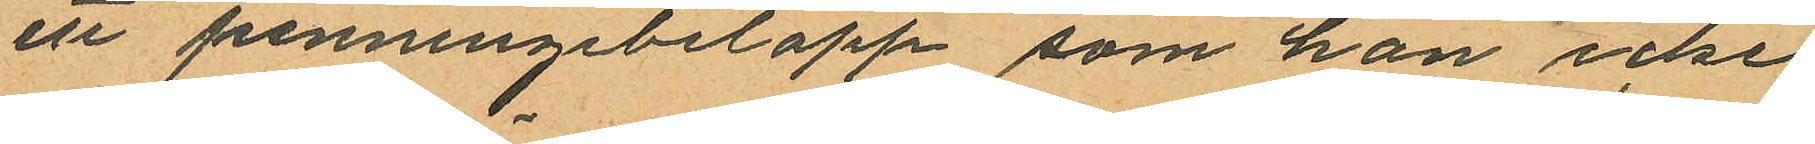ett penningebelopp som han icke
